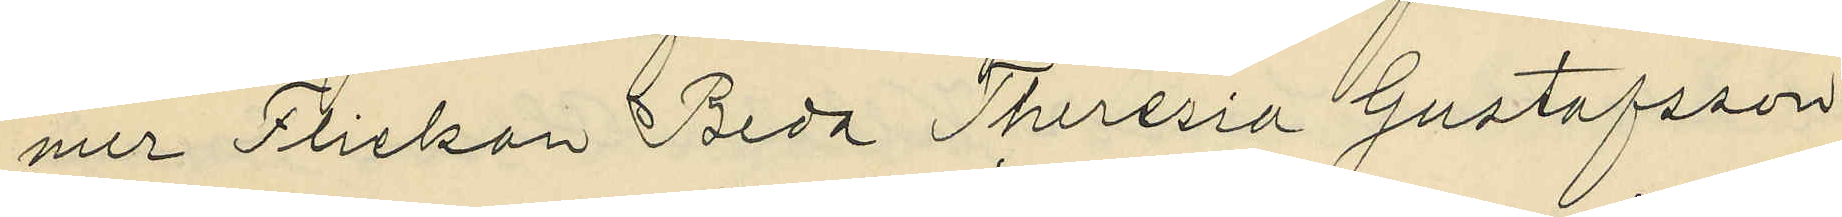mer Flickan Beda Theresia Gustafsson
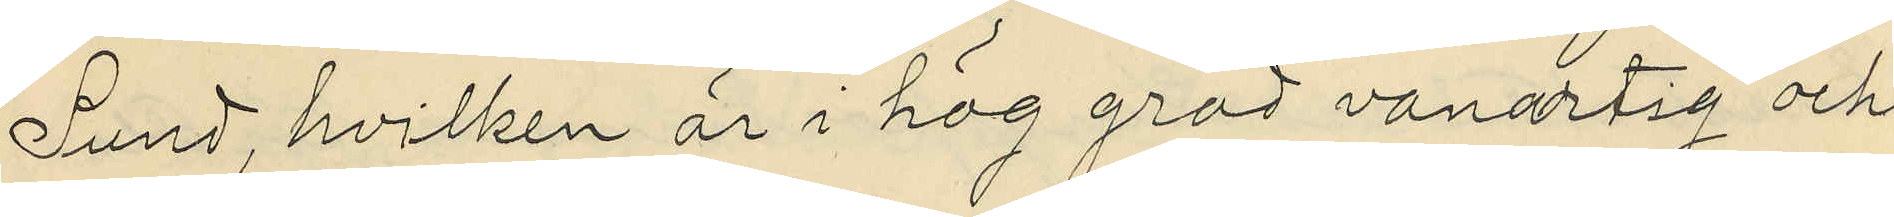Lund, hvilken är i hög gröd vanartig och
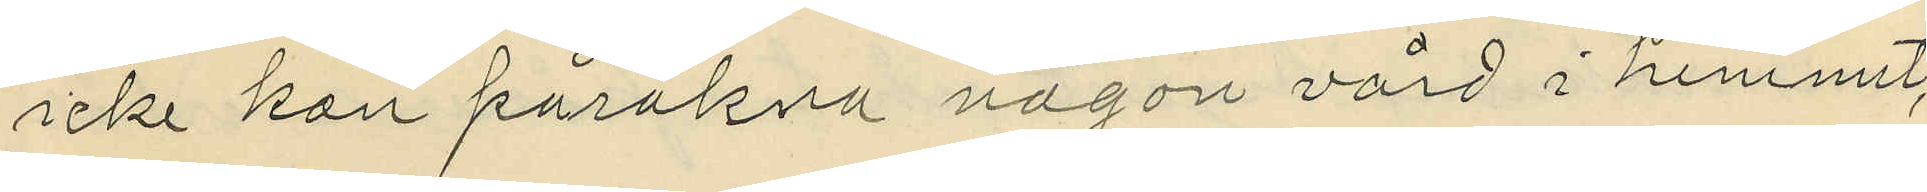icke kan påräkna någon vård i hemmet,
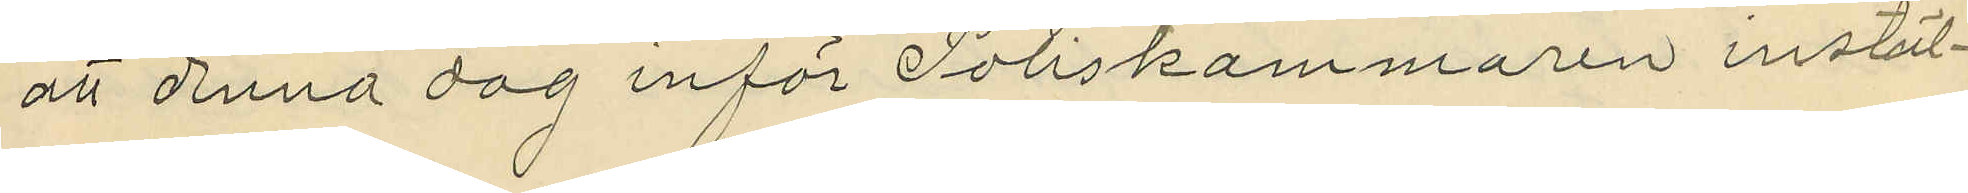att denna dag inför Poliskammaren instäl¬
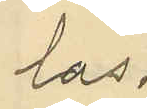las.
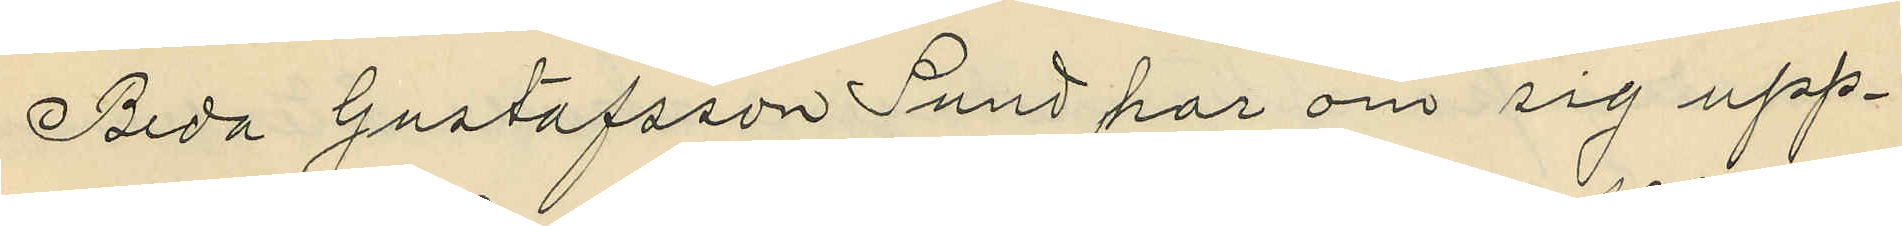Beda Gustafsson Lund har om sig upp¬
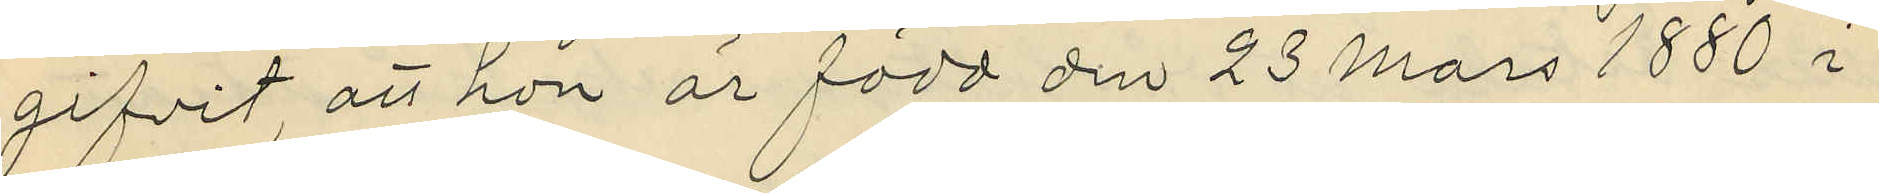gifvit, att hon är född den 23 Mars 1880 i
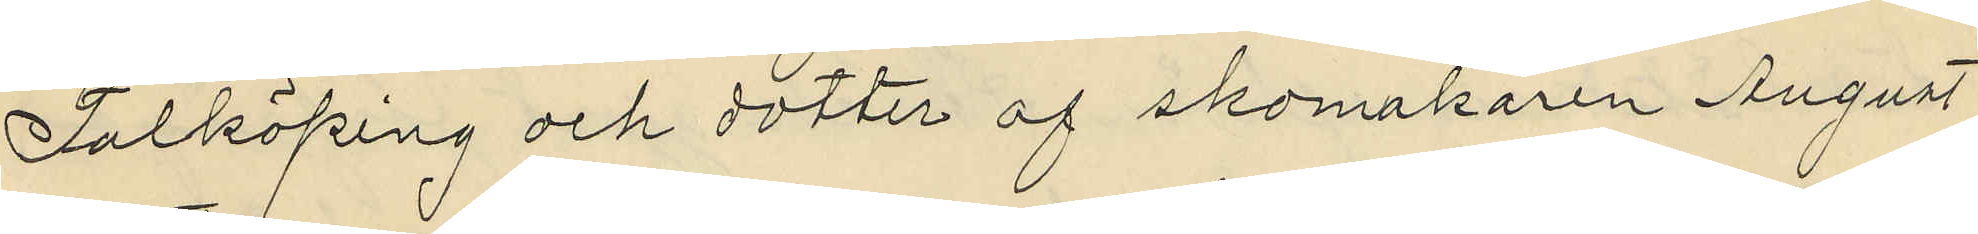Falköping och dotter af skomakaren August
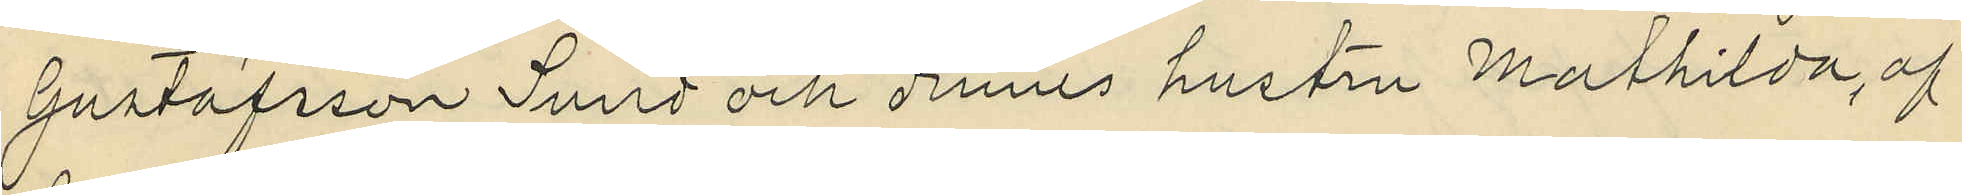Gustafsson Lund och dennes hustru Mathilda, af
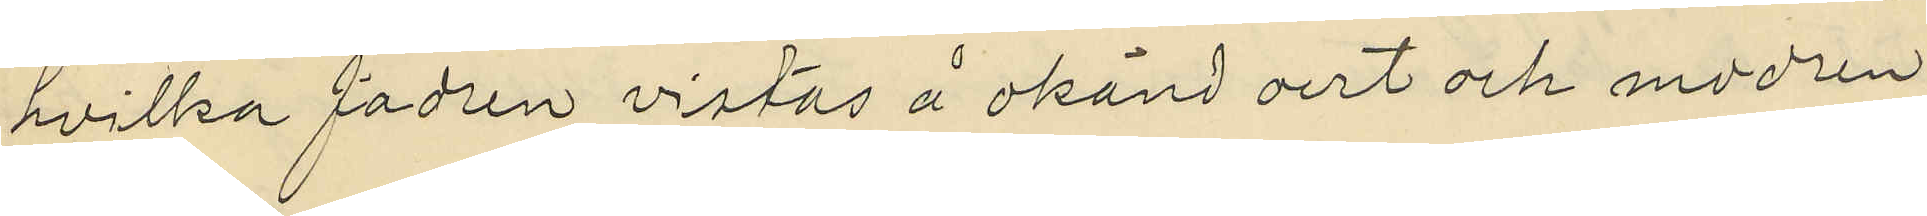hvilka fadren vistas å okänd ort och modern
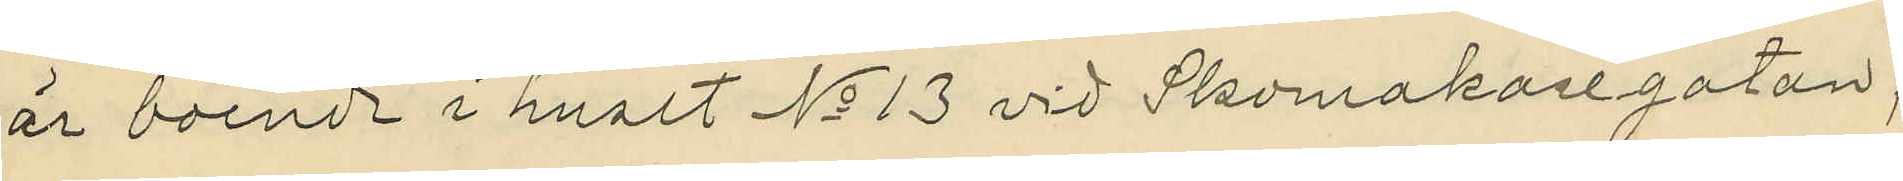är boende i huset No 13 vid Skomakaregatan;
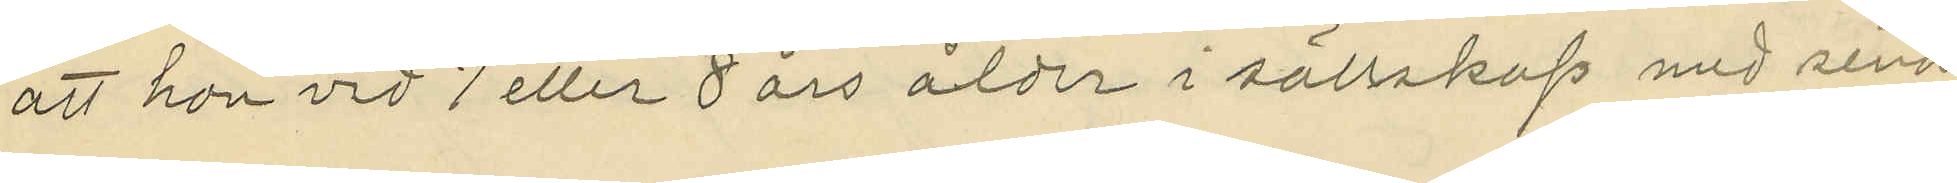att hon vid 7 eller 8 års ålder i sällskap med sina
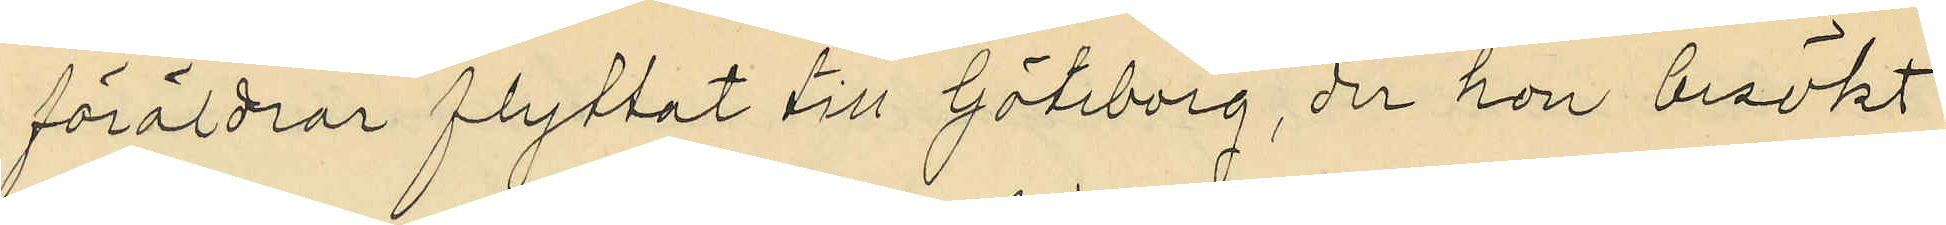föräldrar flyttat till Göteborg, der hon besökt
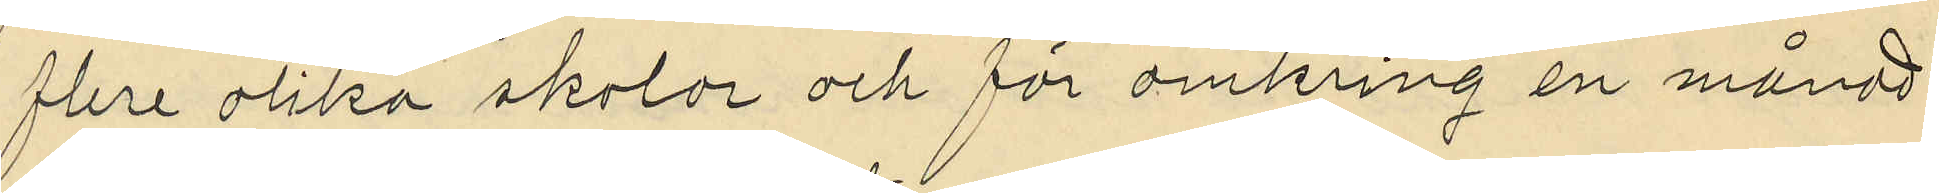flere olika skolor och för omkring en månad
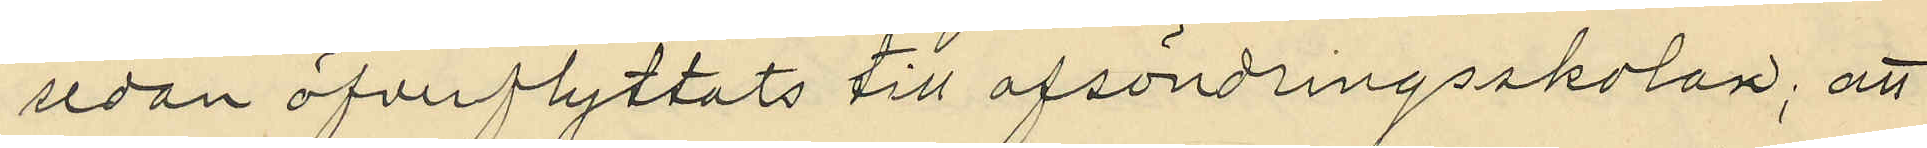sedan öfverflyttats till afsöndringsskolan; att
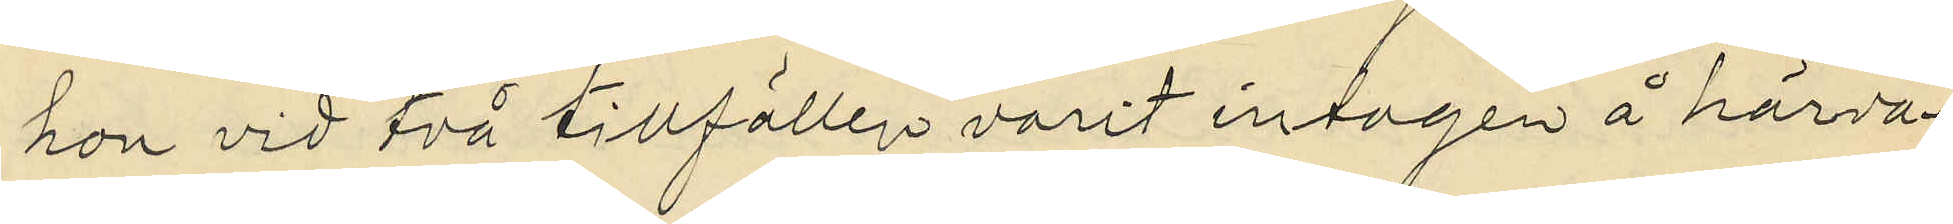hon vid två tillfällen varit intagen å härva¬
